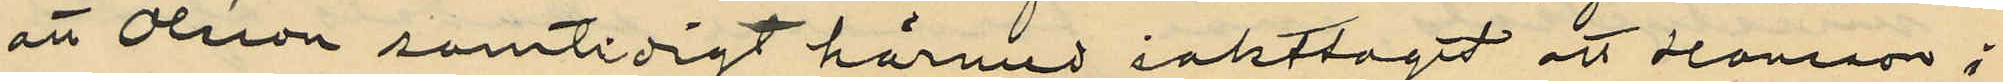att Olsson samtidigt härmed iakttagit att Hansson i
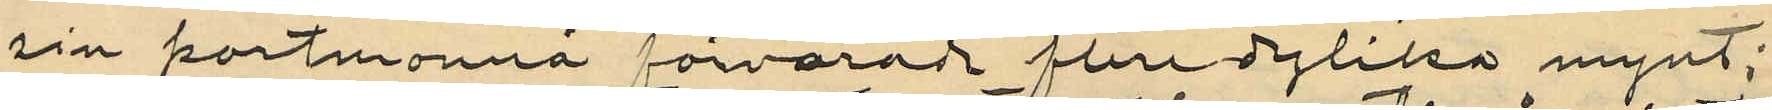sin portmonnä förvarade flera dylika mynt,
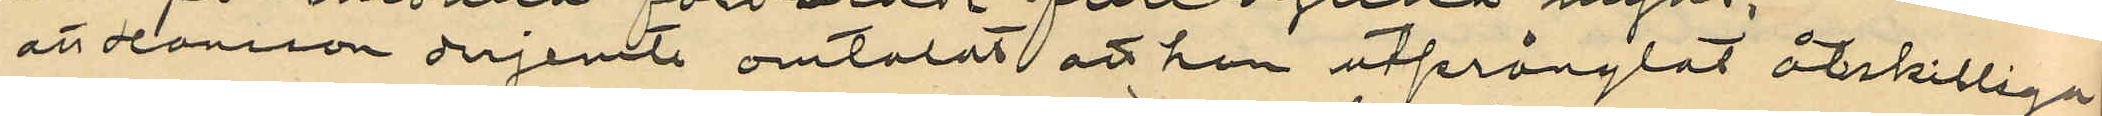att Hansson derjemte omtalat att han utprånglat åtskilliga
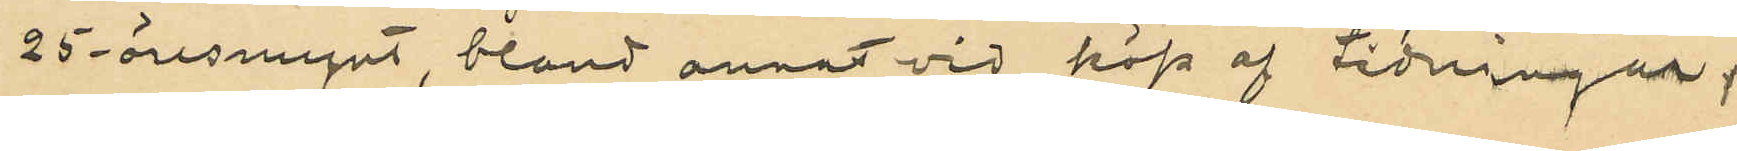25-öresmynt, bland annat vid köp af tidningar;
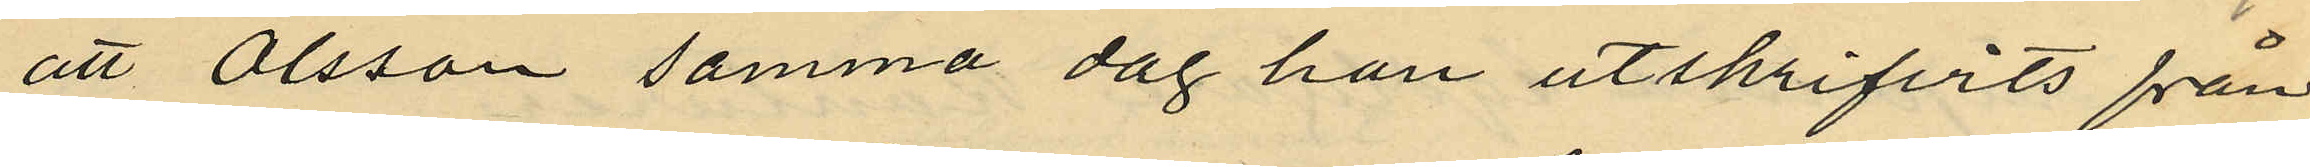att Olsson samma dag han utskrifvits från
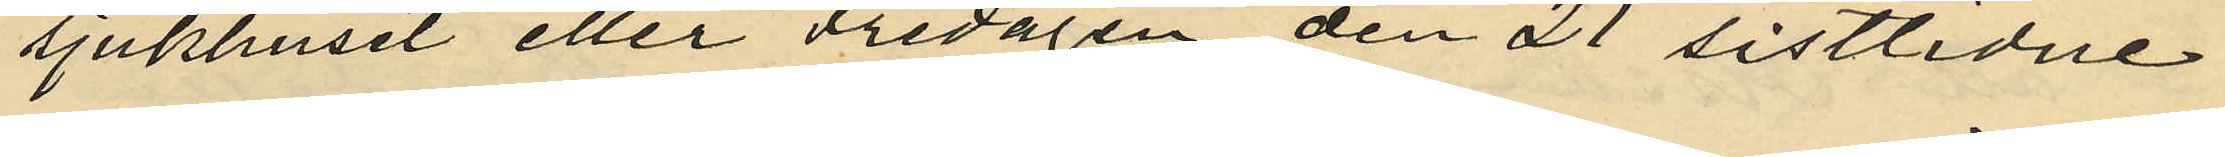sjukhuset eller Fredagen den 21 sistlidne
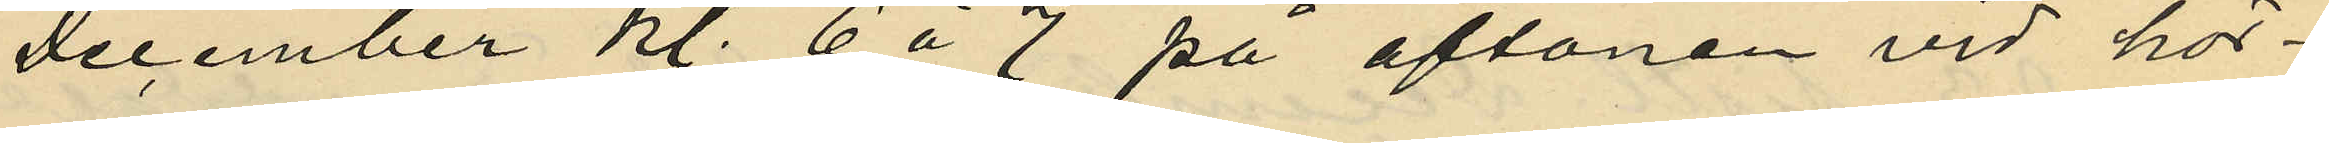December kl. 6 á 7 på aftonen vid hör¬
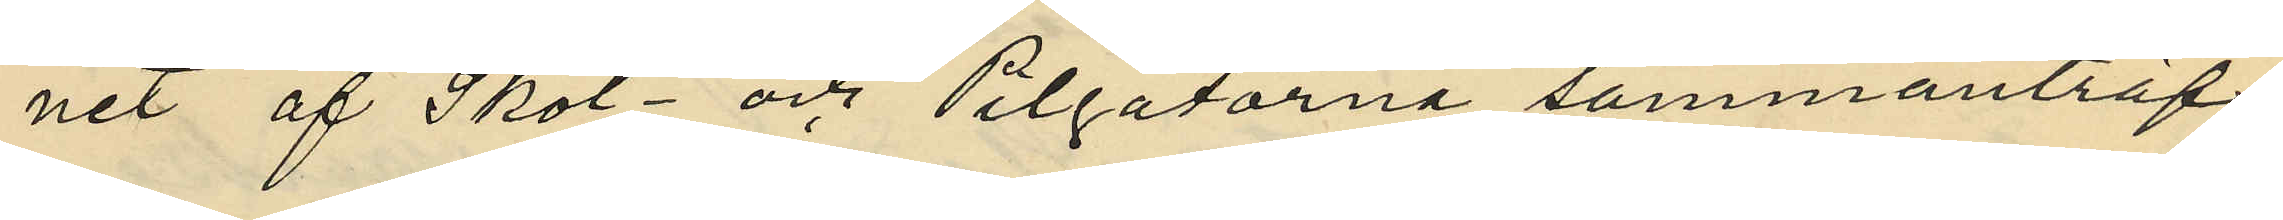net af Skol- och Pilgatorna sammanträf¬
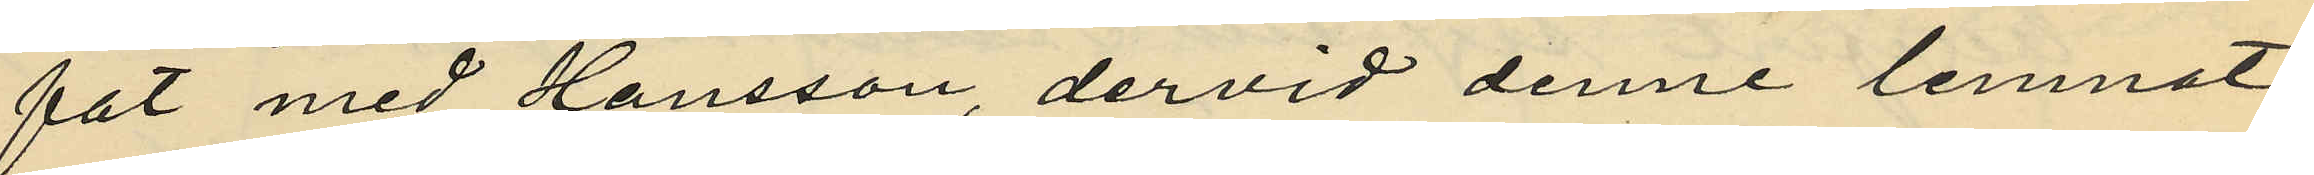fat med Hansson, dervid denne lemnat
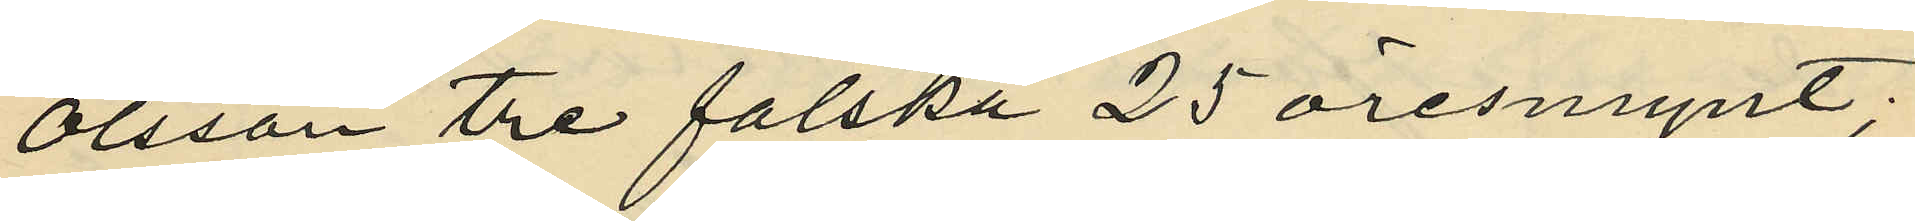Olsson tre falska 25 öresmynt;
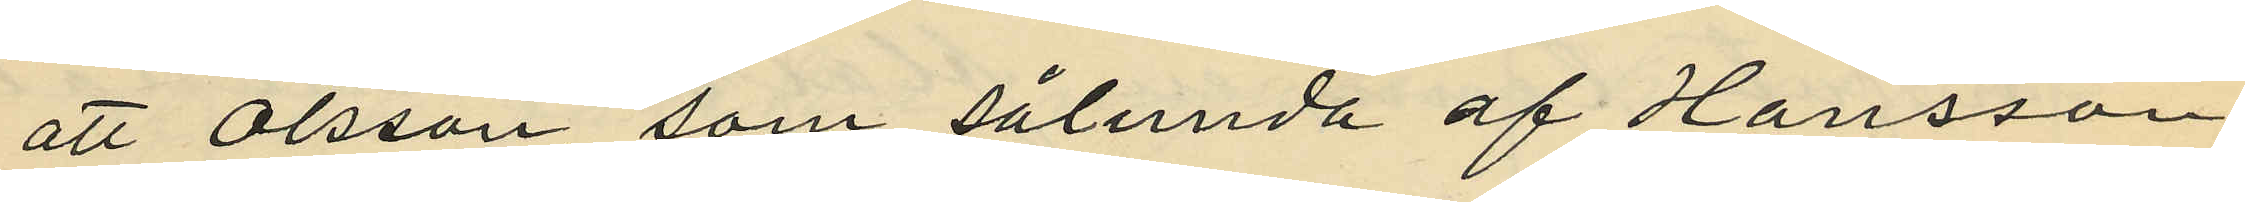att Olsson, som sålunda af Hansson
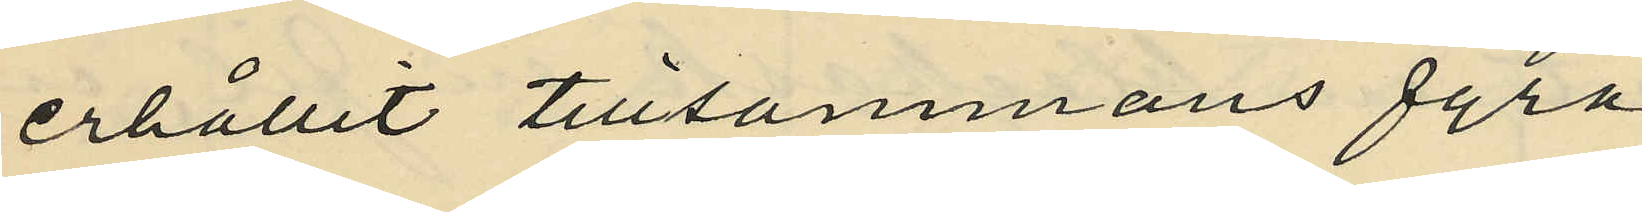erhållit tillsammans fyra
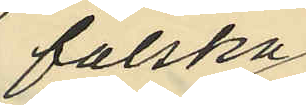falska
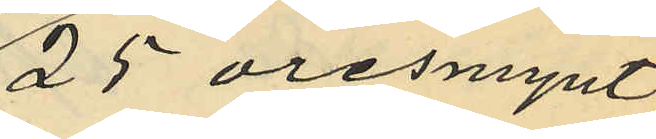25 öresmynt,
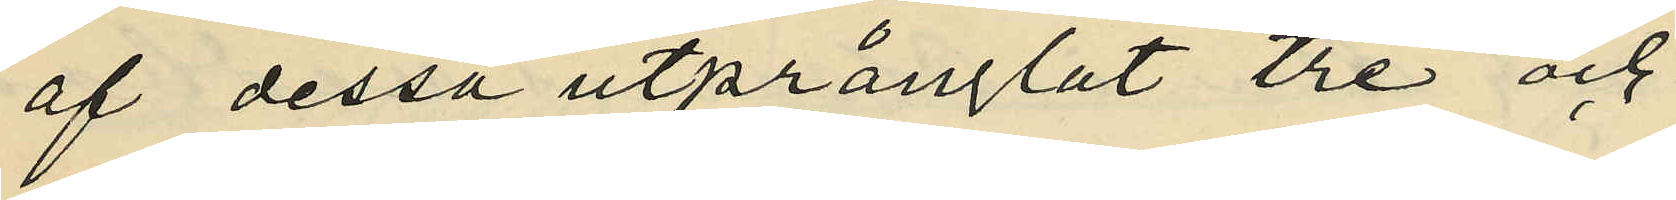af dessa utprånglat tre och
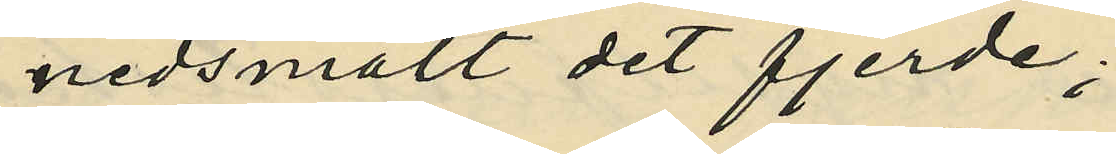nedsmält det fjerde;
